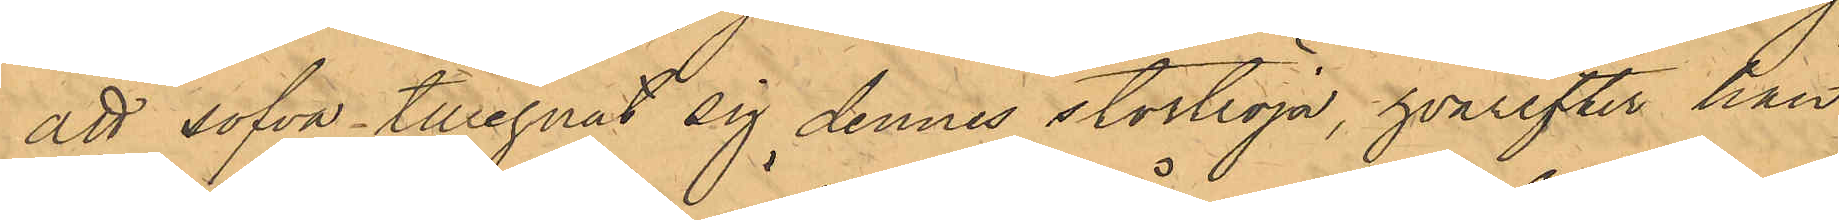att sofva tillegnat sig dennes stortröja, hvarefter han
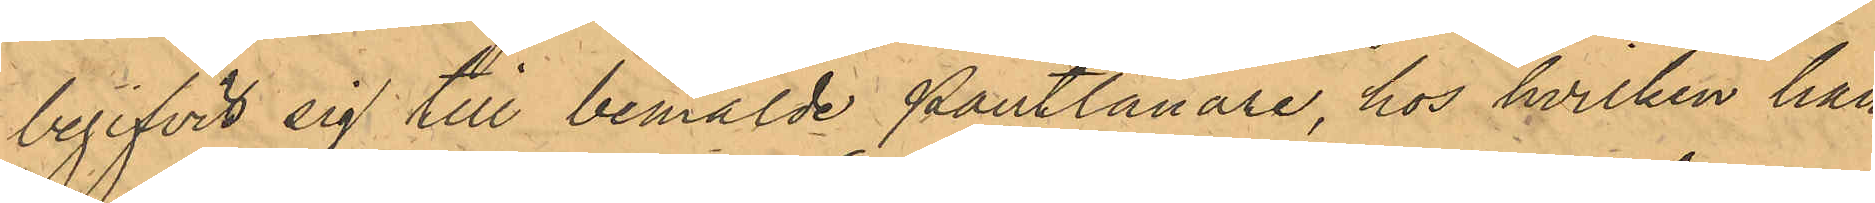begifvit sig till bemälde Pantlånare, hos hvilken han
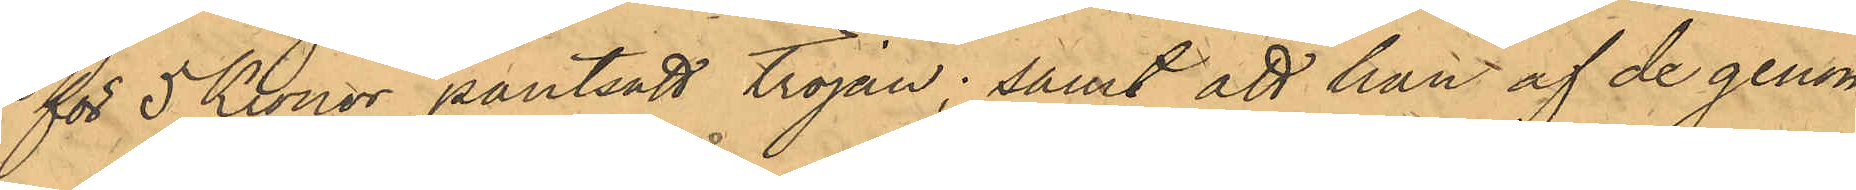för 5 Kronor pantsatt tröjan; samt att han af de genom
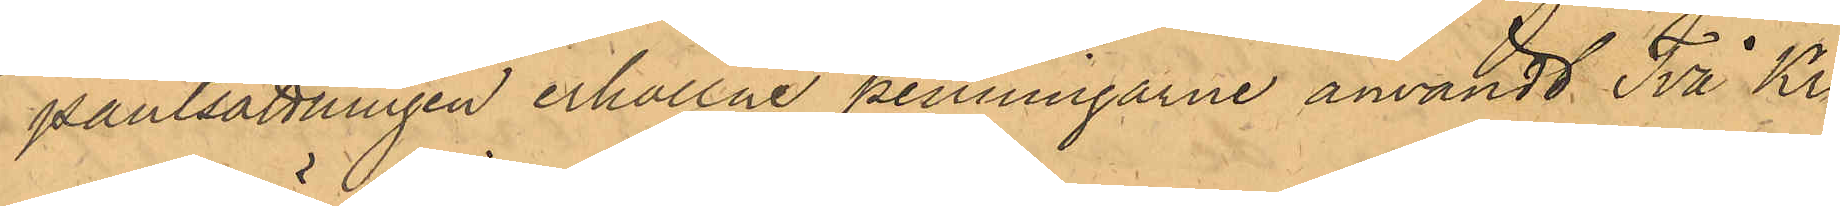pantsättningen erhållne penningarne användt Två Kro¬
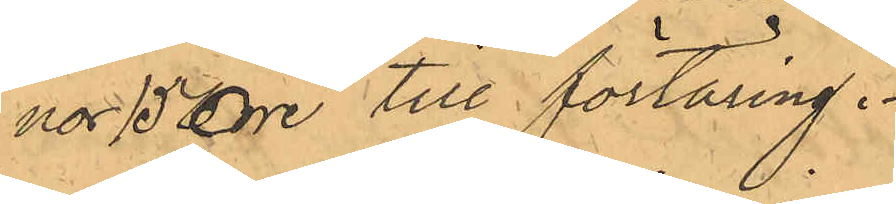nor 15 Öre till förtäring.
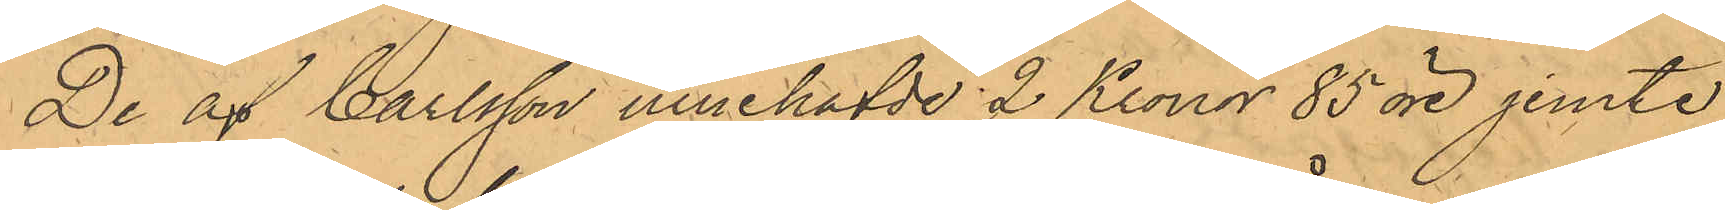De af Carlsson innehafde 2 Kronor 85 öre jemte
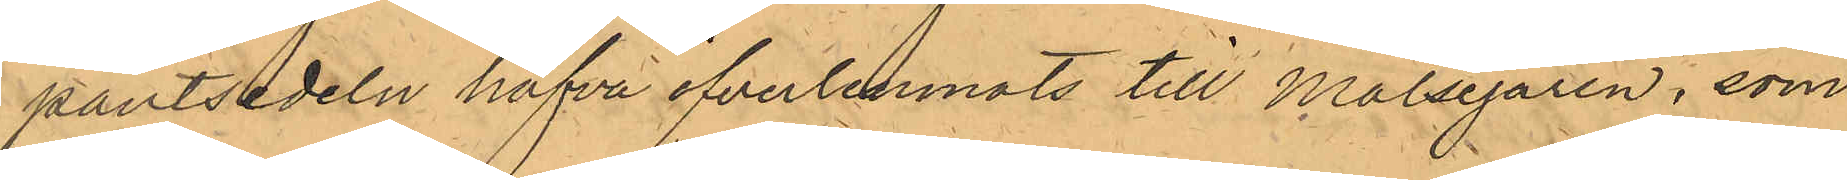pantsedeln hafva öfverlemnats till Målsegaren, som
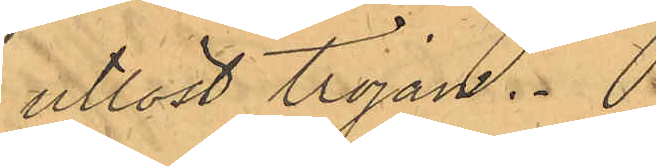utlöst tröjan.
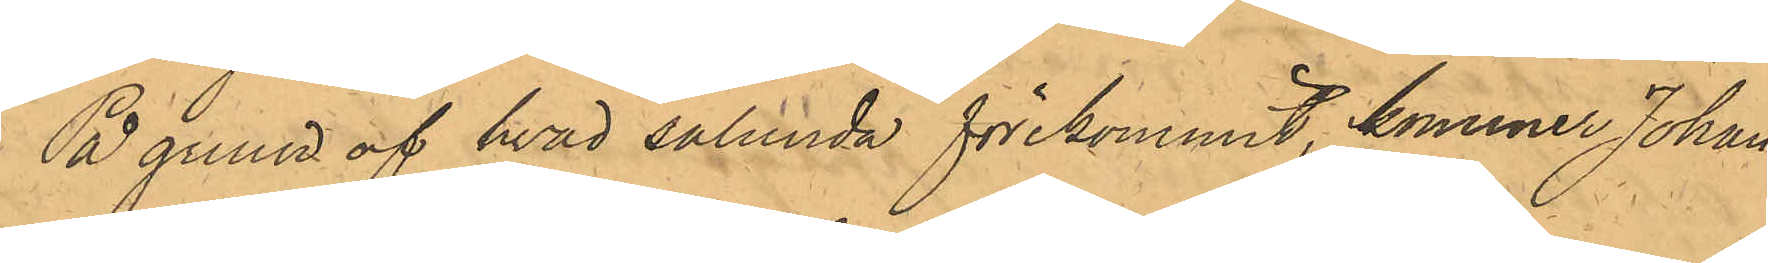På gunnd af hvad sålunda förekommit, kommer Johan
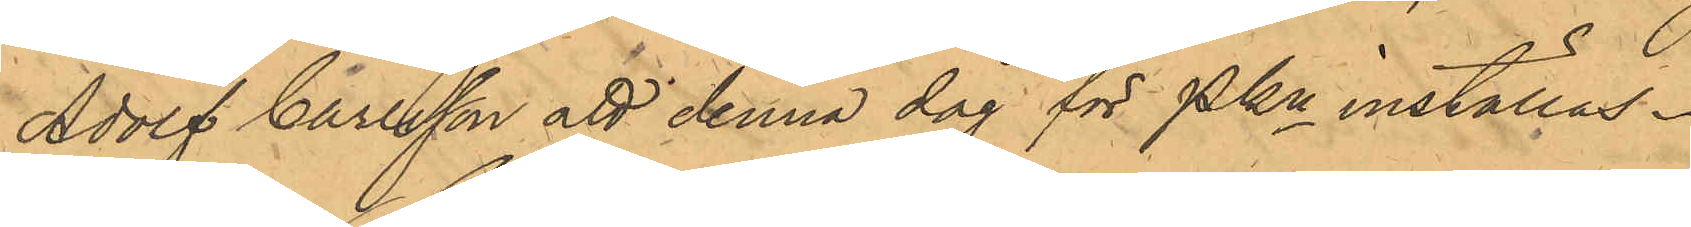Adolf Carlsson att denna dag för Pkn inställas.
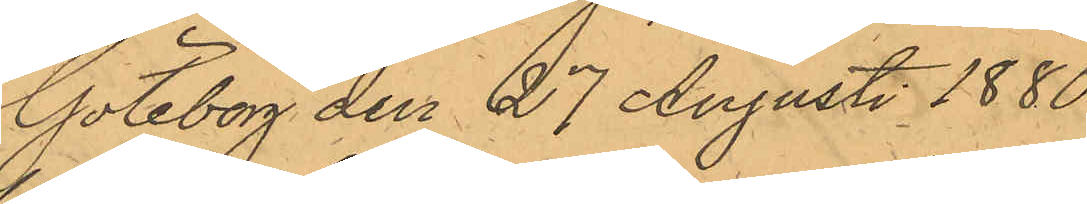Göteborg den 27 Augusti 1880.
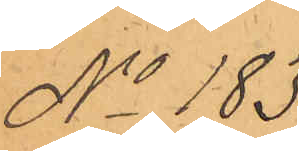No 183.
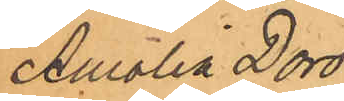Amalia Doro¬
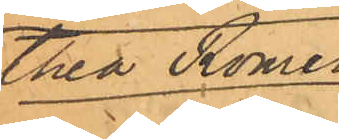thea Romén
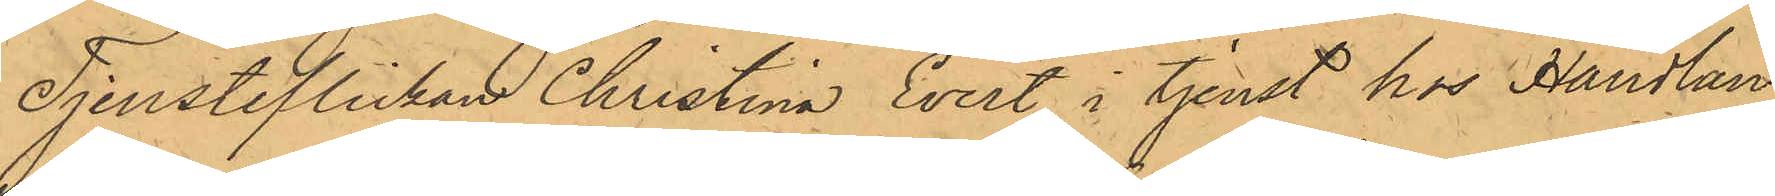Tjensteflickan Christina Evert, i tjenst hos Handlan¬
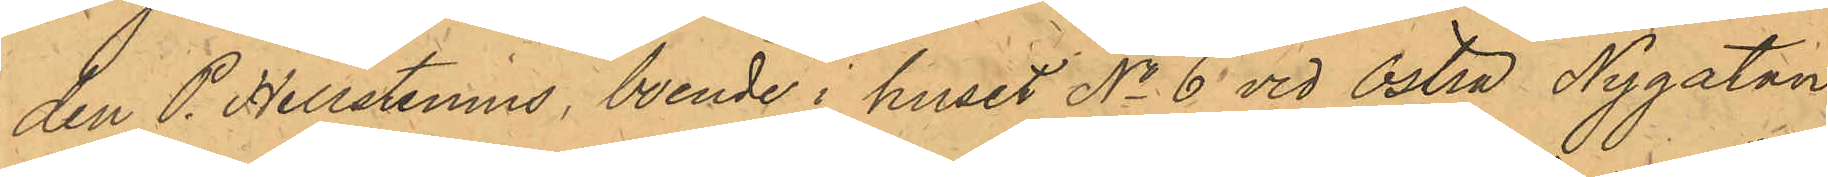den P. Hellstenius, boende i huset No 6 vid Östra Nygatan,
